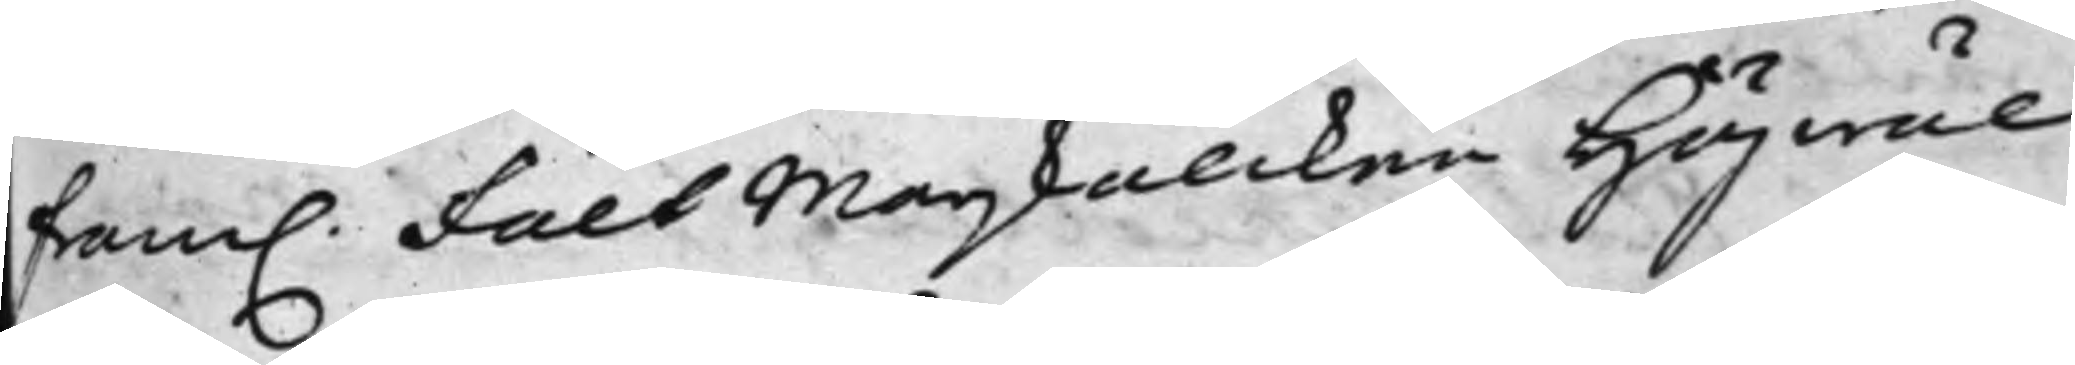fram. Fält Marskalcken Högwäl¬
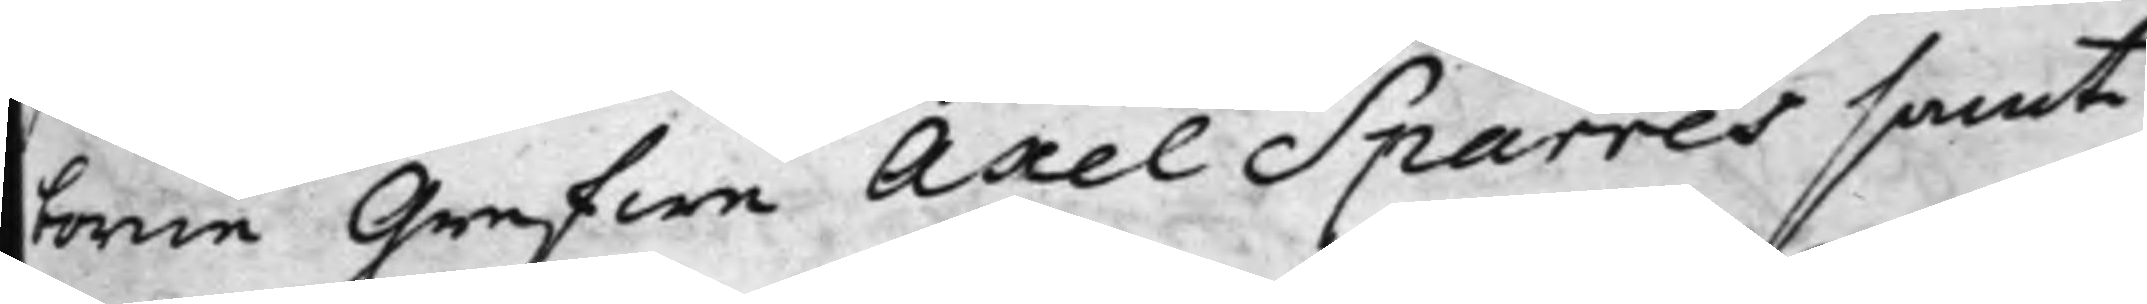borne Grefwe Axel Sparres samte¬
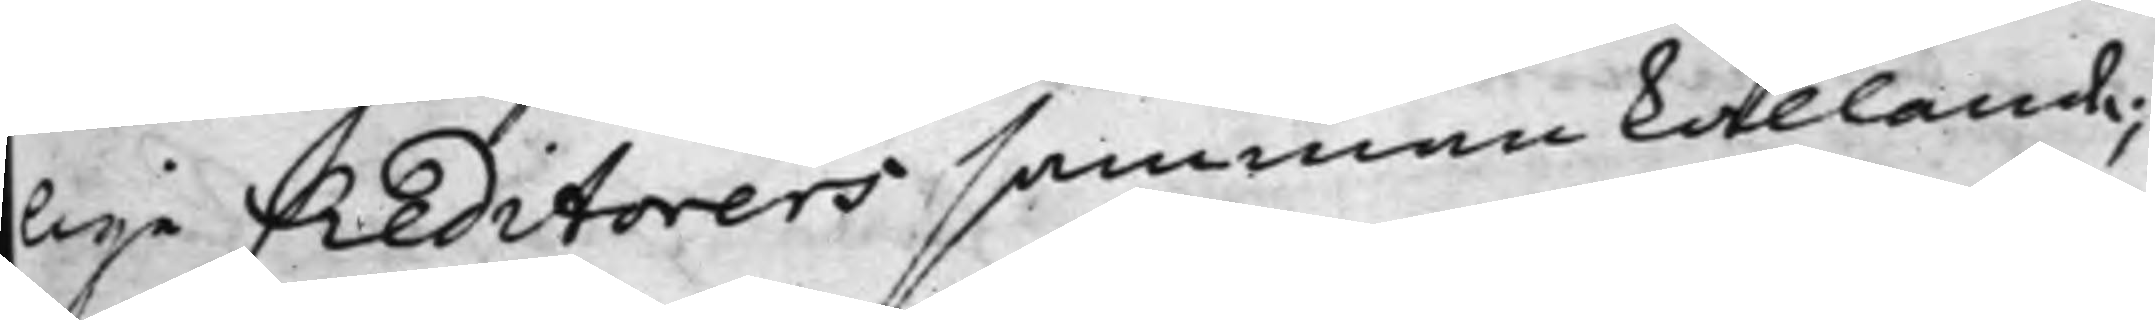lige Creditorers sammankallande;
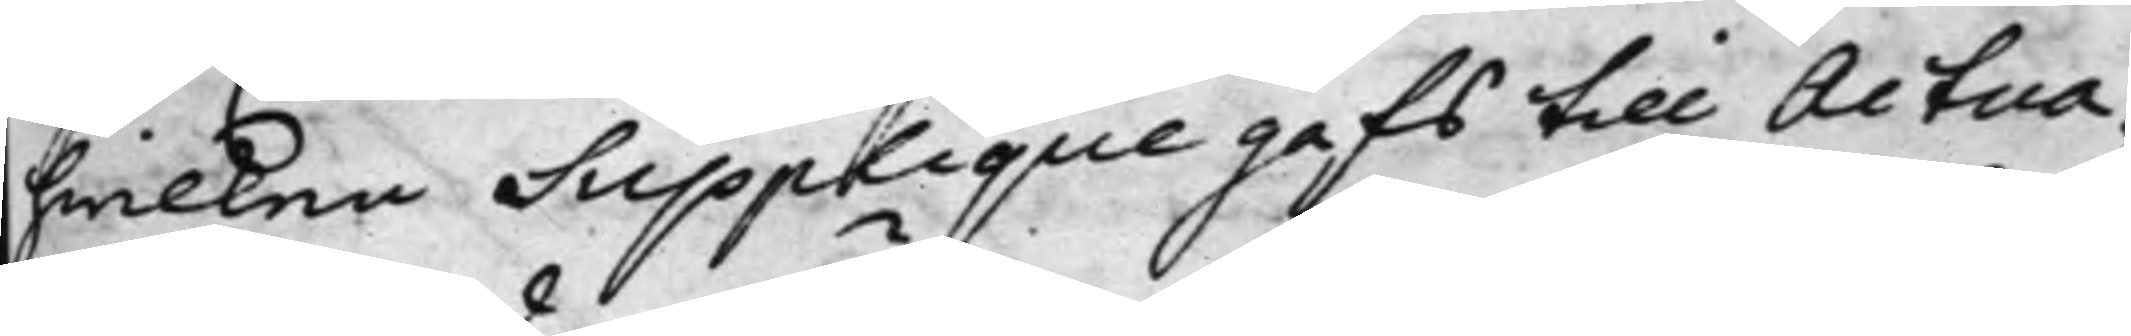hwilken Supplique gafs till Actua¬
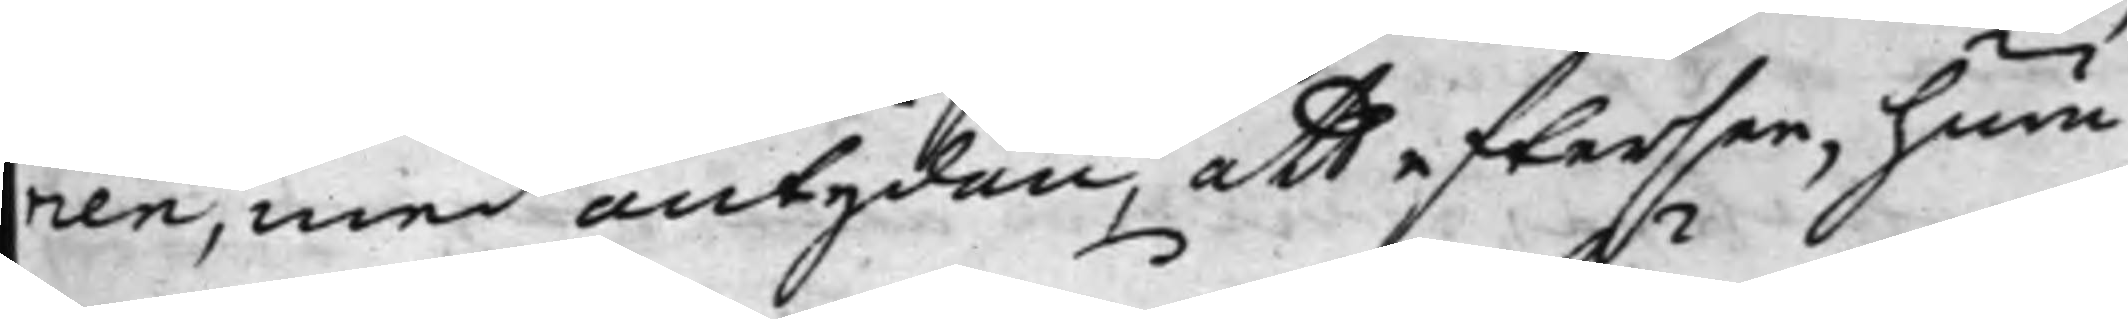rien, med antydan, att eftersee, huru¬
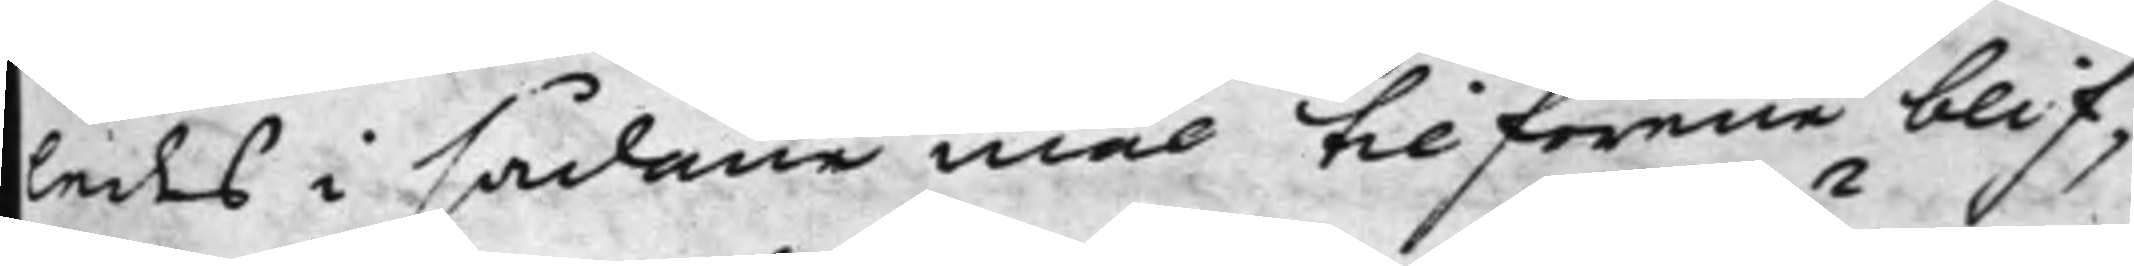ledes i sådane mål tillförene blif¬
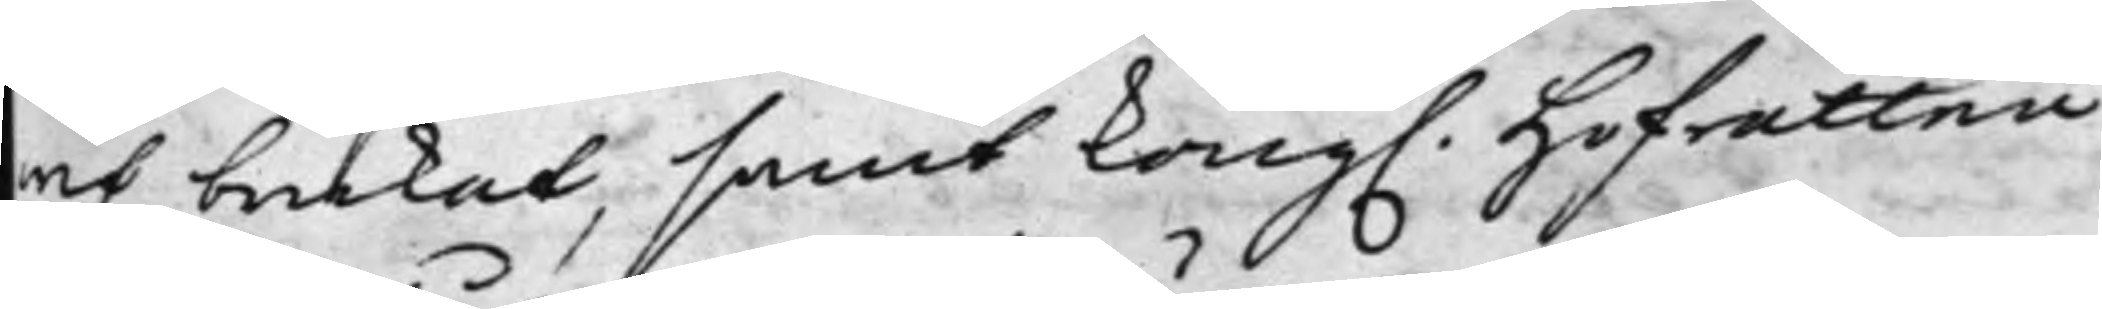wit brukat, samt Kong. Hofrätten
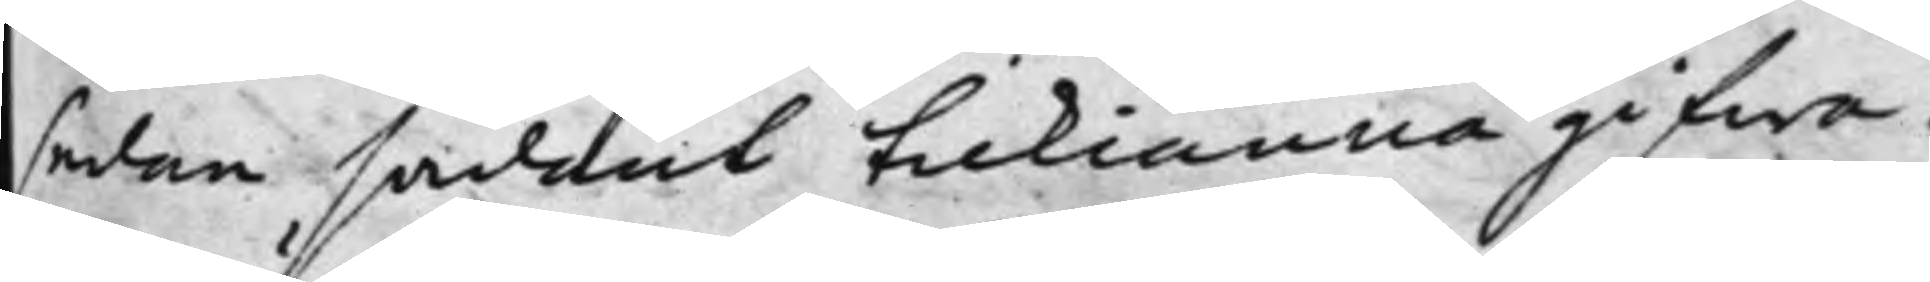sedan sådant tilkiänna gifwa.
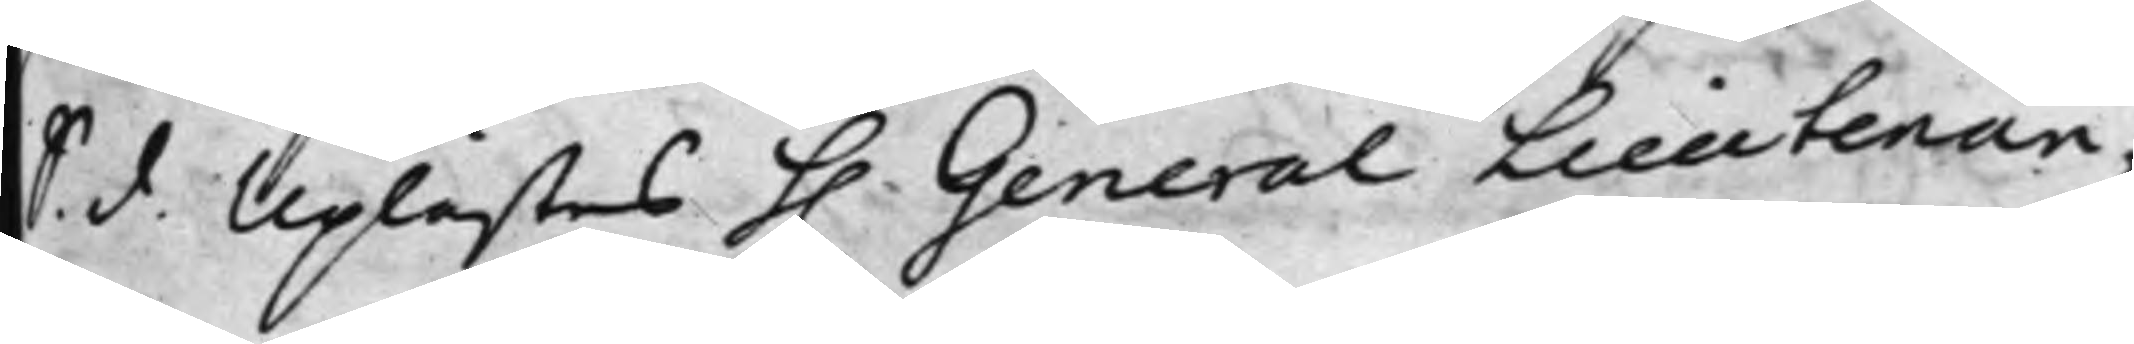S. d. Uplästes h. General Lieutenan¬
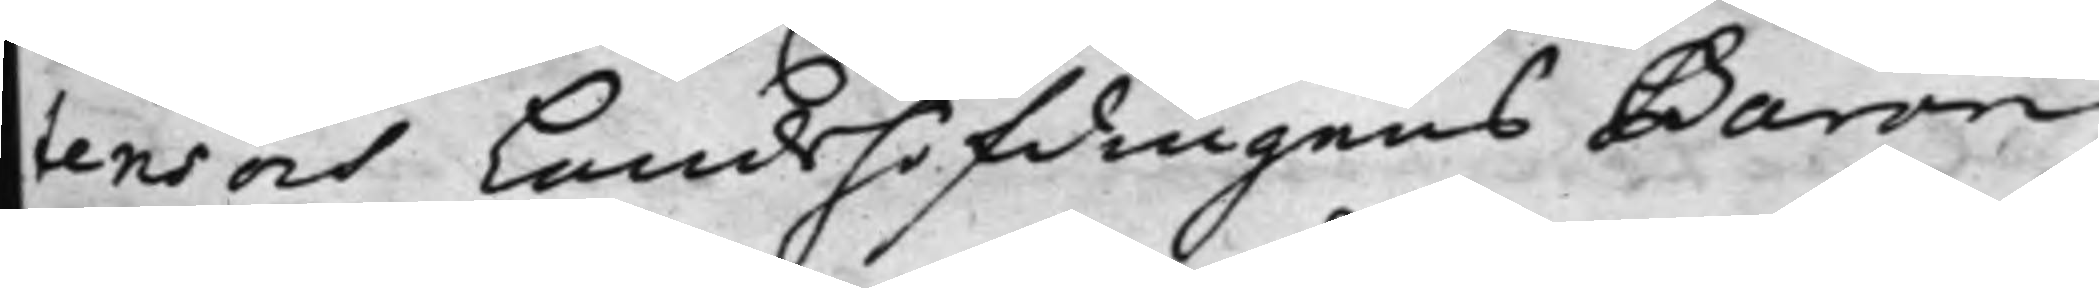tens och Landshöfdingens Baron
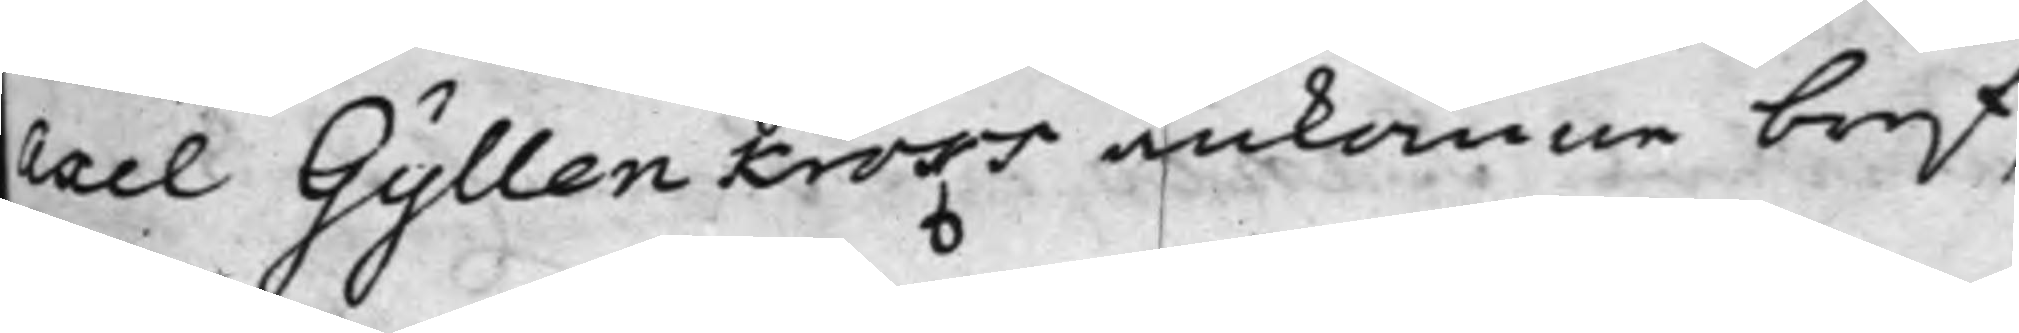Axel Gyllenkroks ankomne bref,
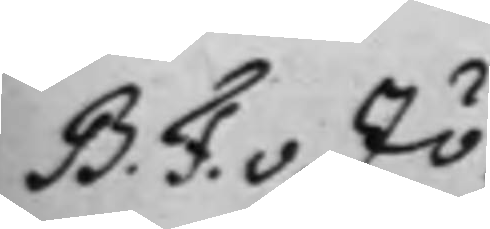B. F. v. Zö¬
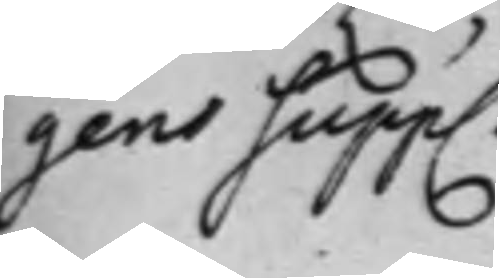gens Supp.
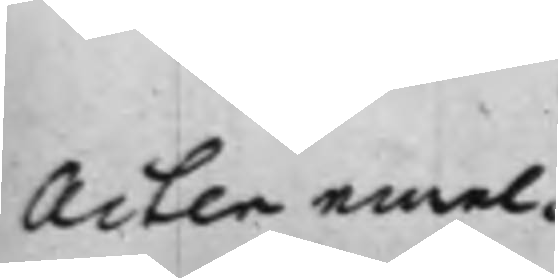Acten emel¬
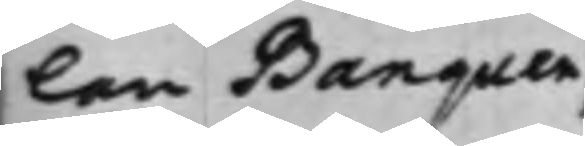lan Banquen,
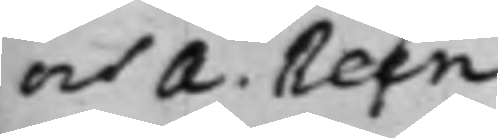och A. Reen¬
